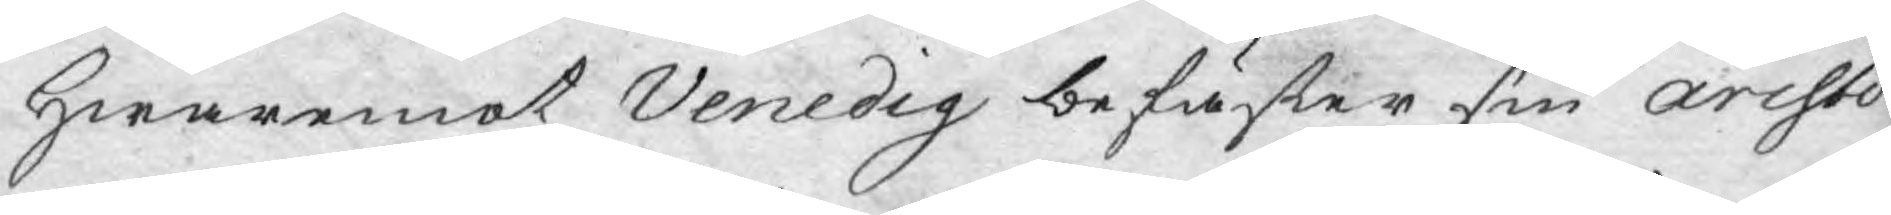Hwaremot Venedig befäster sin aristio¬
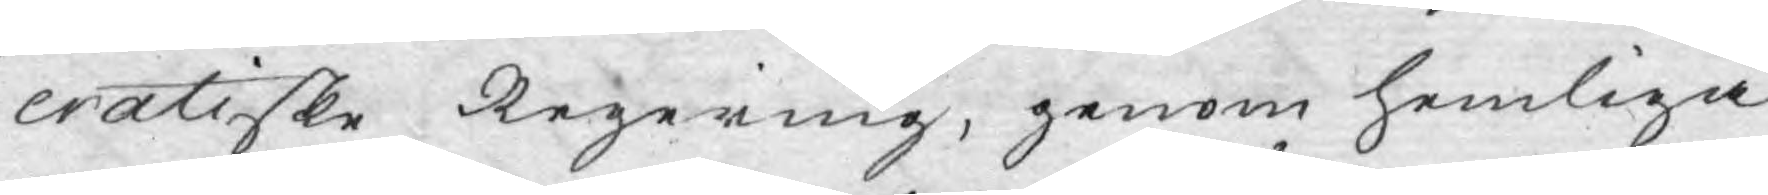cratiske Regering, genom hemliga
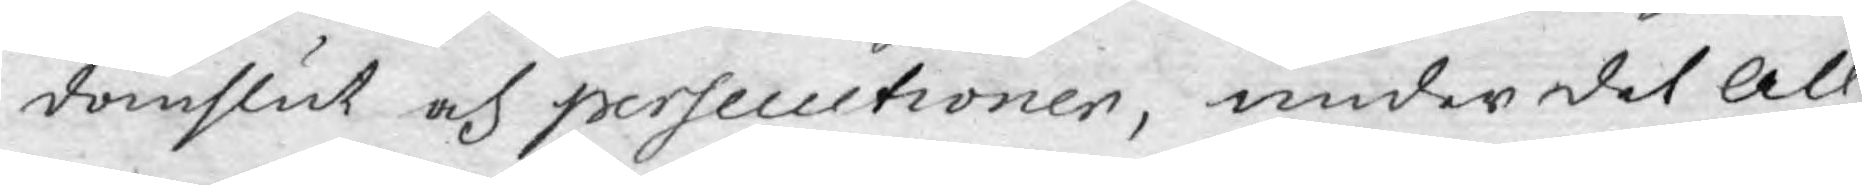domslut och persecutioner, under det All¬
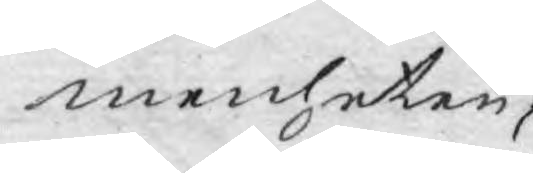menheten,
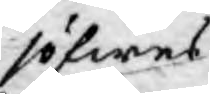söfwes
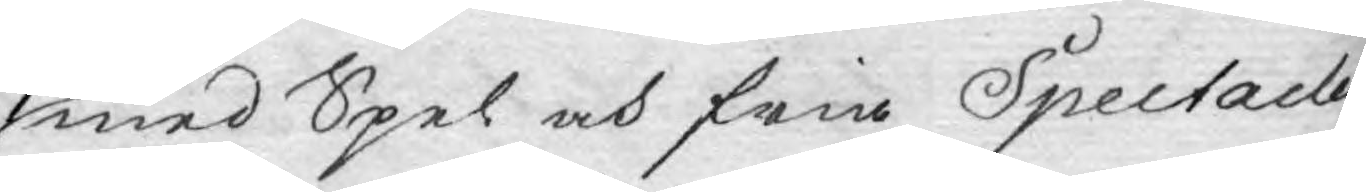med Spel och fria Spectacler
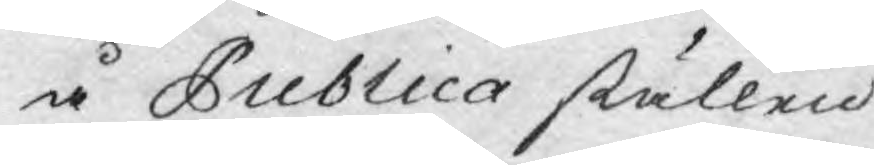å Publica ställen.
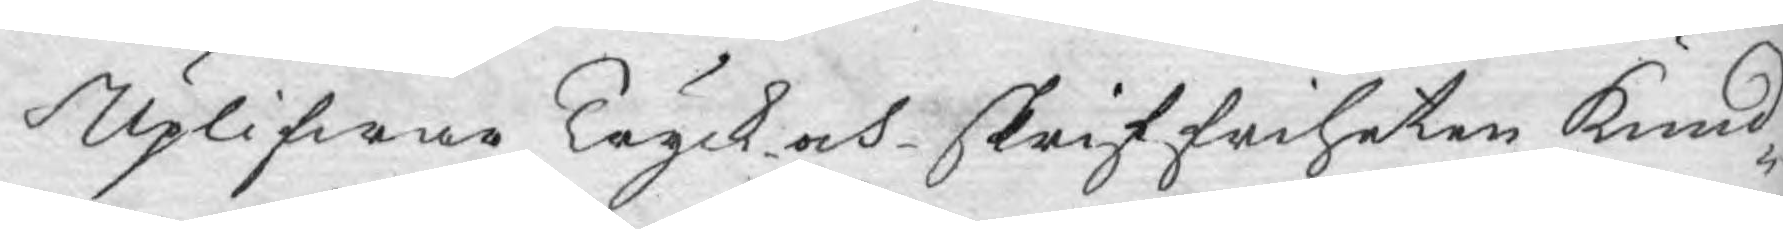Uplifwar Tryck och skriffriheten kund¬
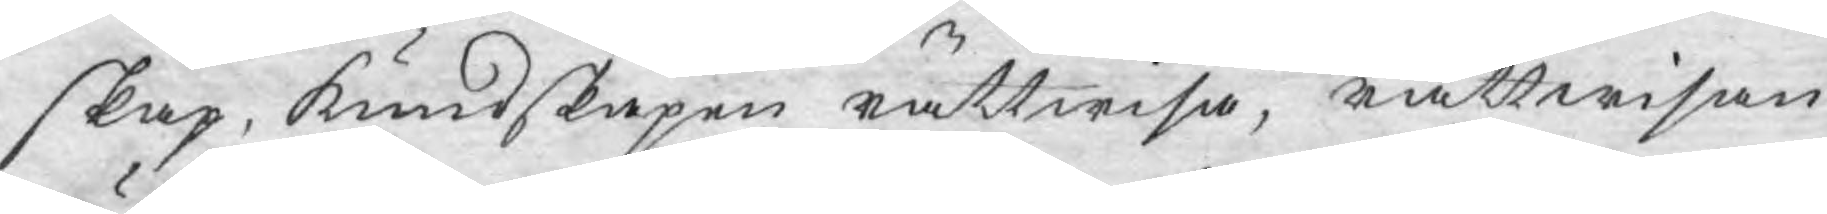skap, kundskapen rättwisa, rättwisan
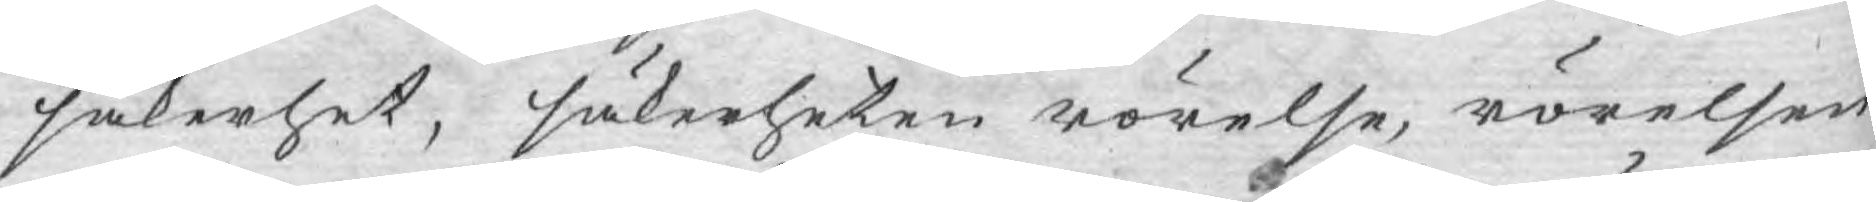säkerhet, säkerheten rörelse, rörelsen
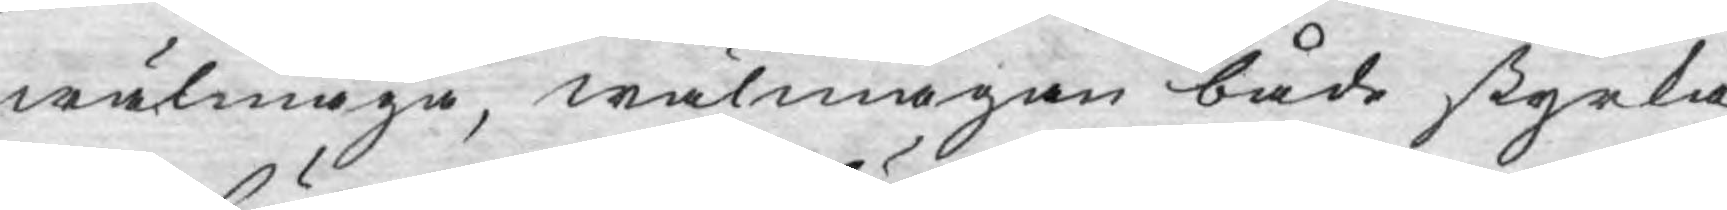wälmåga, wälmågan både styrka
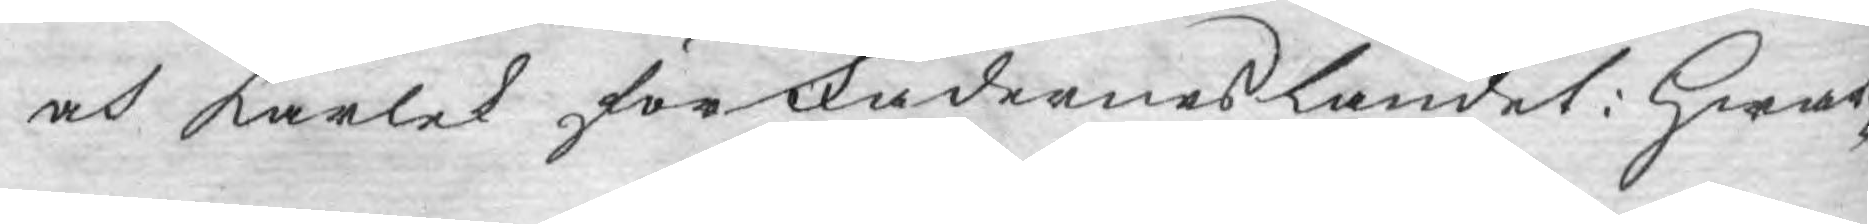och kärlek för Fäderneslandet: hwar¬
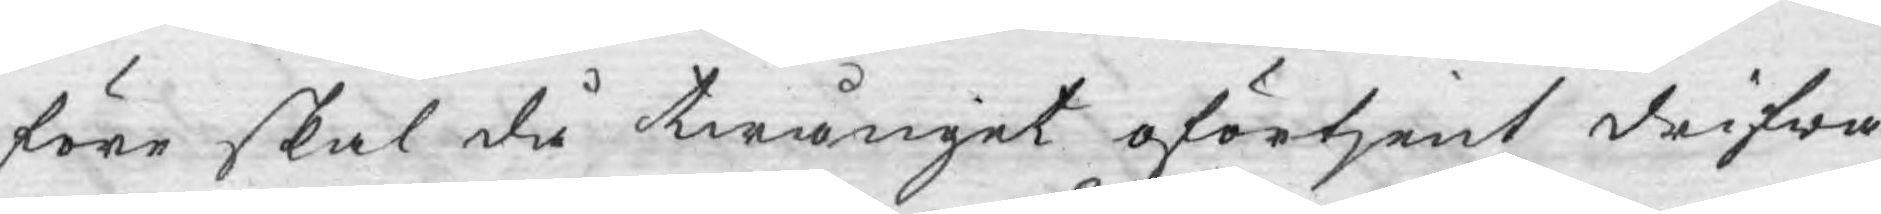före skal då twånget oförtjent drifwa
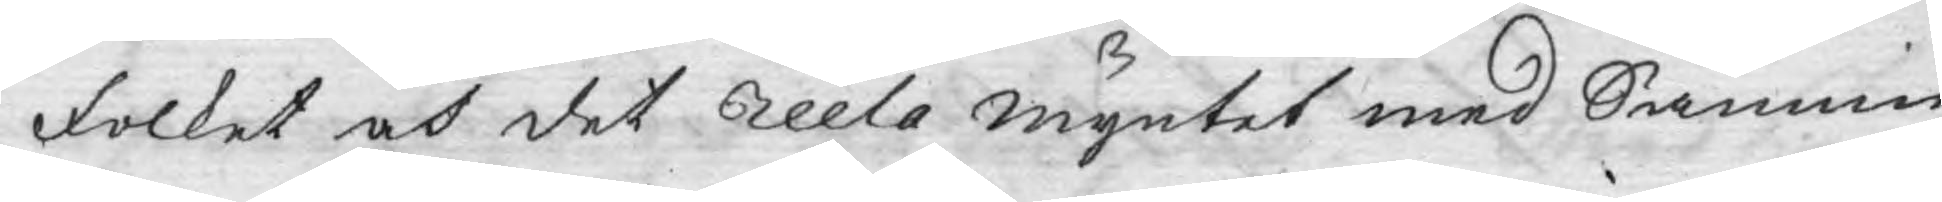folket och det reela myntet med Sannin¬
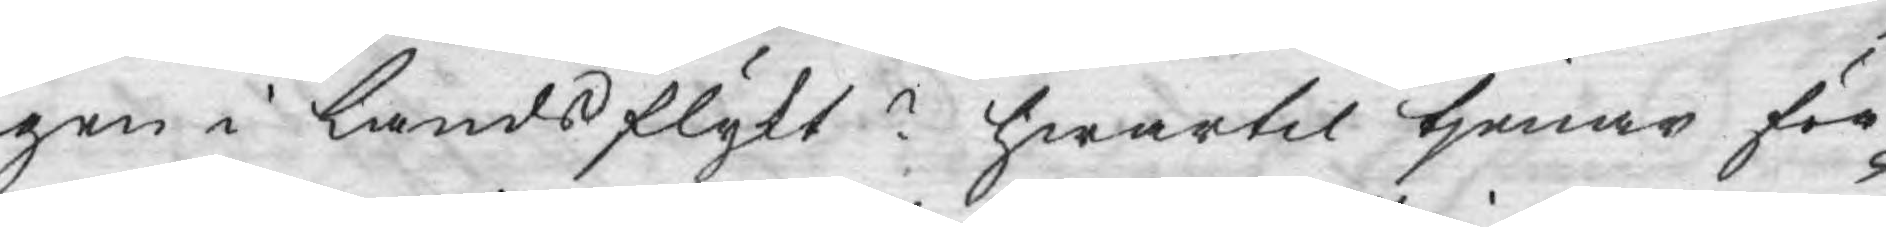gen i landsflykt? hwartil tjenar för¬
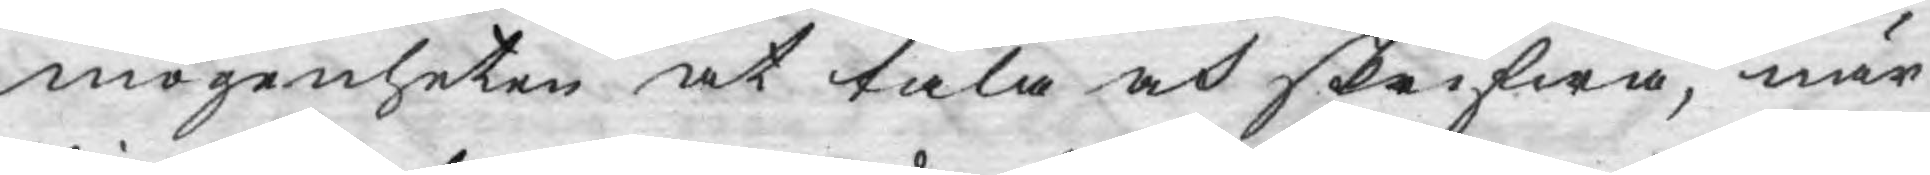mögenheten at tala och skrifwa, när
